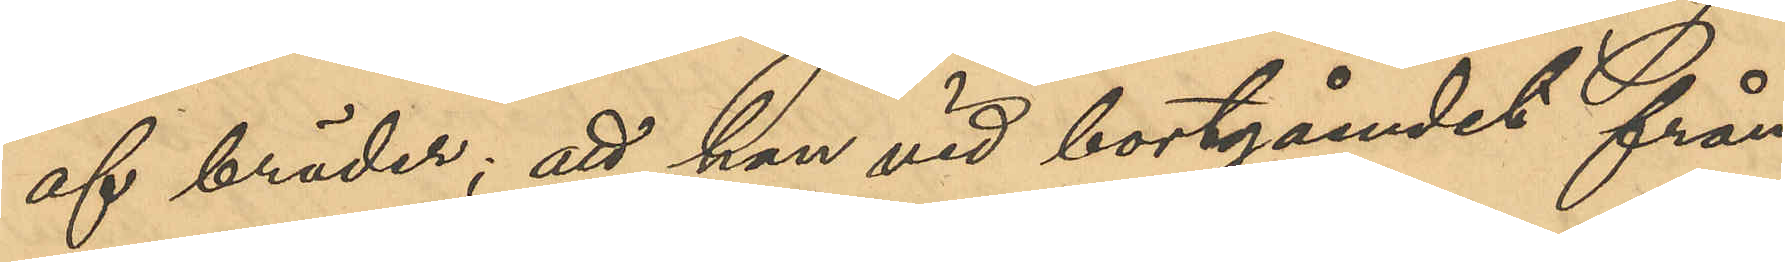af bräder; att han vid bortgåendet från
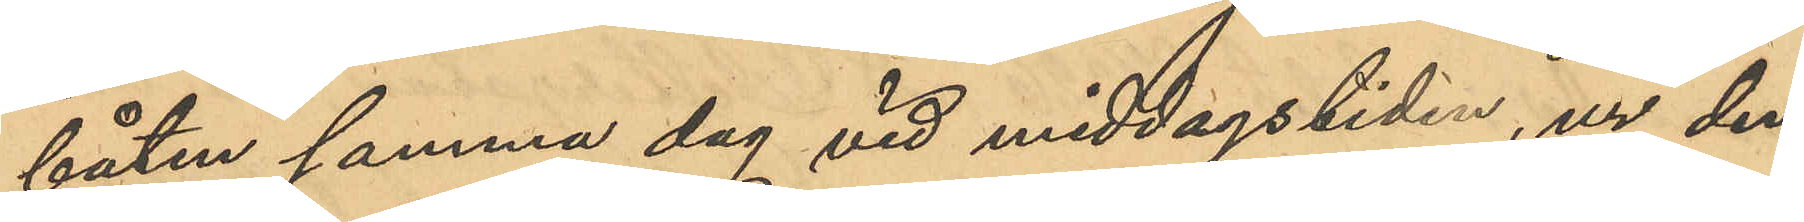båten samma dag vid middagstiden, ur den
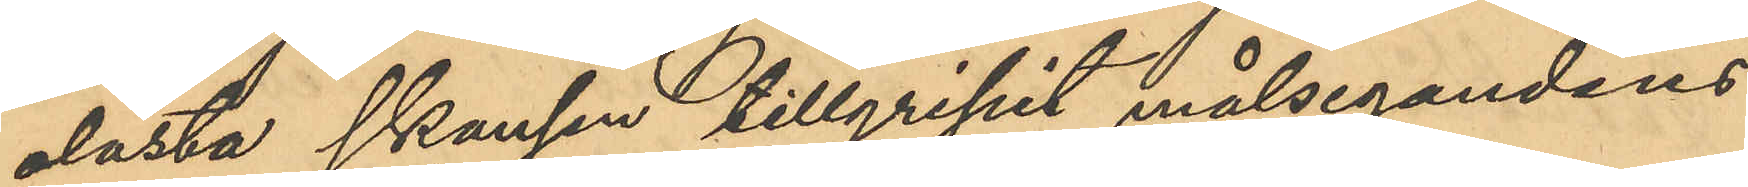olåsta skansen tillgripit målsegandens
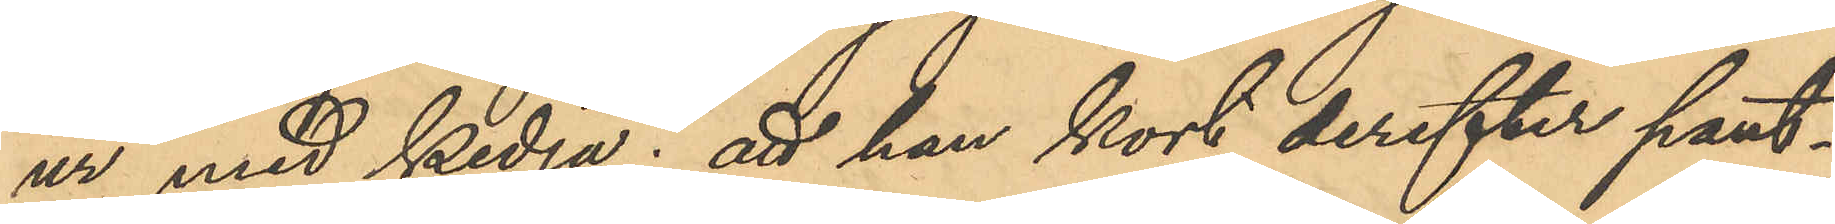ur med kedja; att han kort derefter pant¬
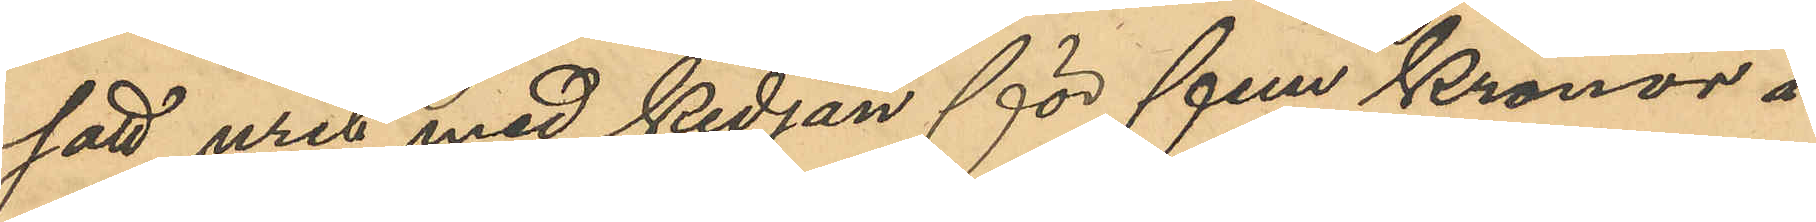satt uret med kedjan för fem kronor å
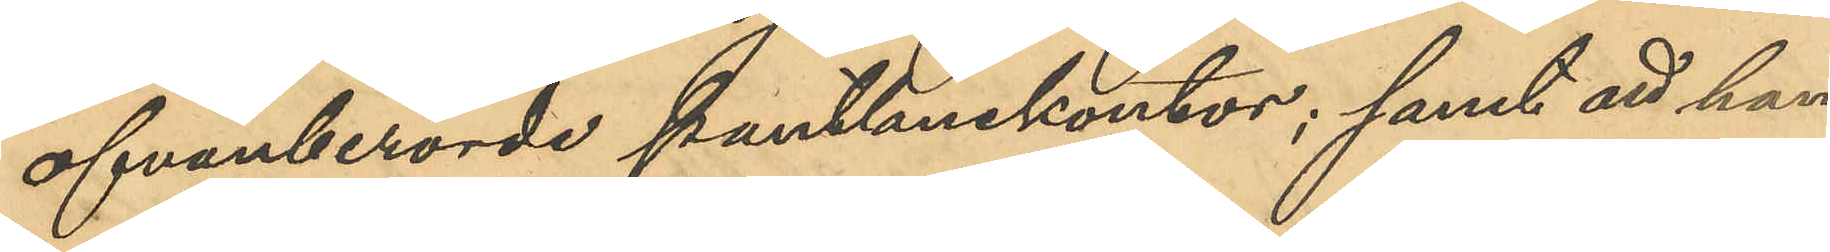ofvanberörde Pantlånekontor; samt att han
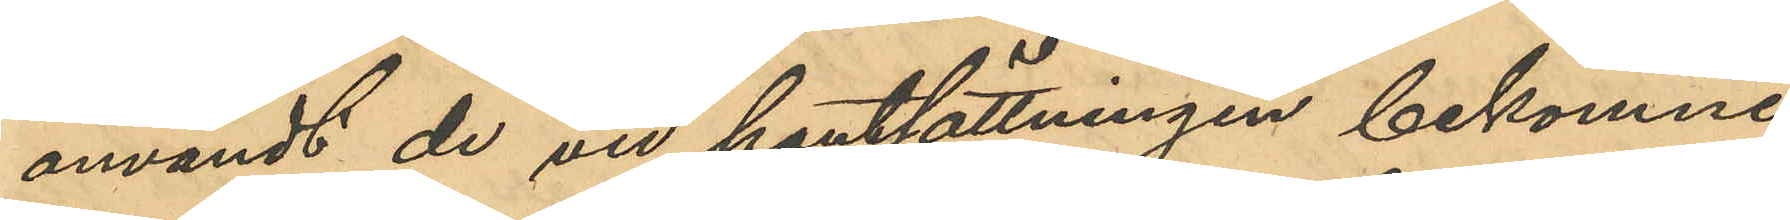användt de vid pantsättningen bekomne
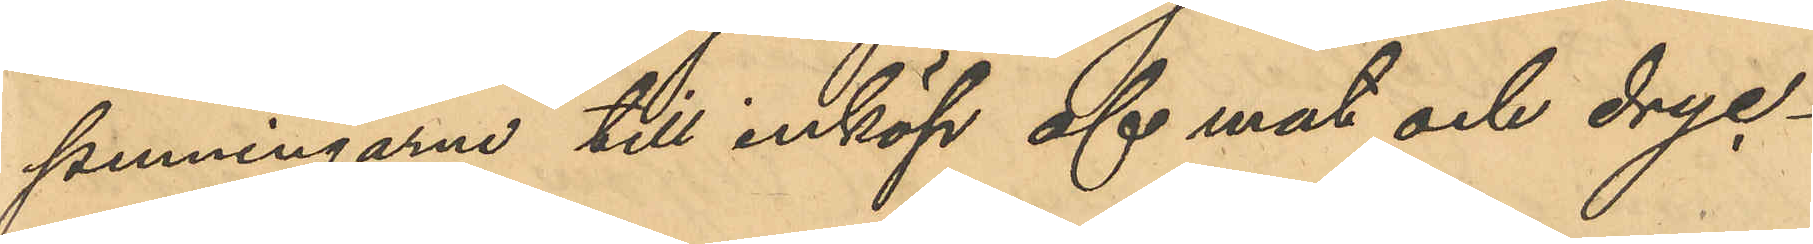penningarne till inköp af mat och dryc¬
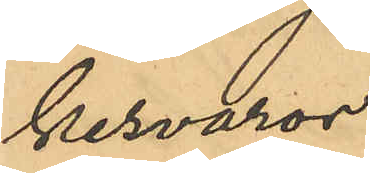kesvaror.
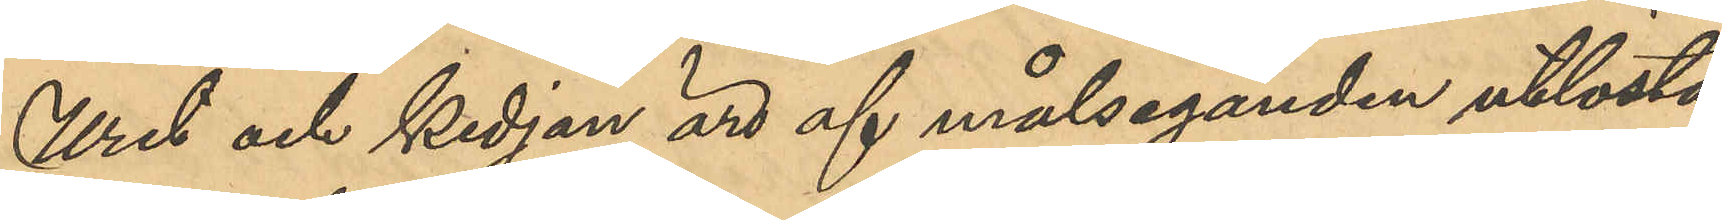Uret och kedjan äro af målseganden utlösta.
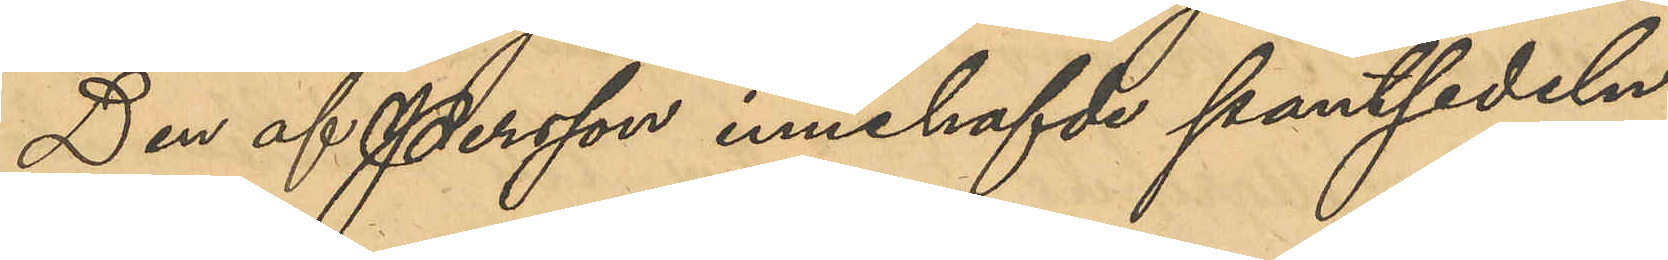Den af Persson innehafvde pantsedeln
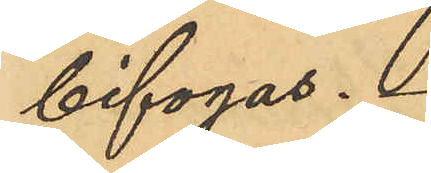bifogas.
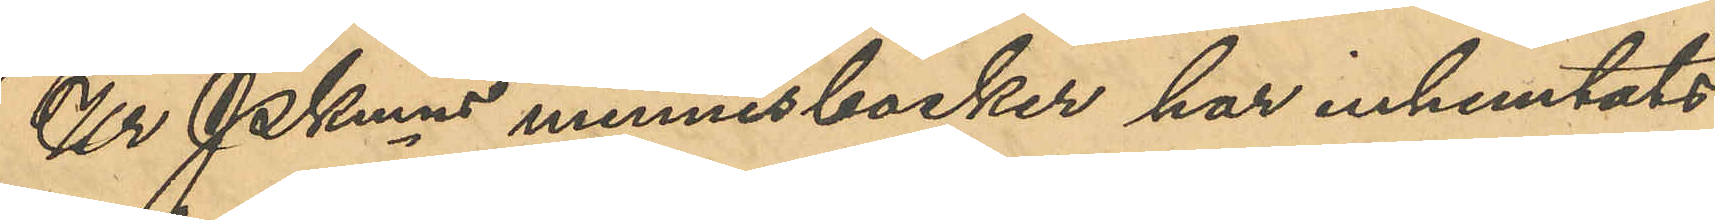Ur PKmns minnesböcker har inhemtats
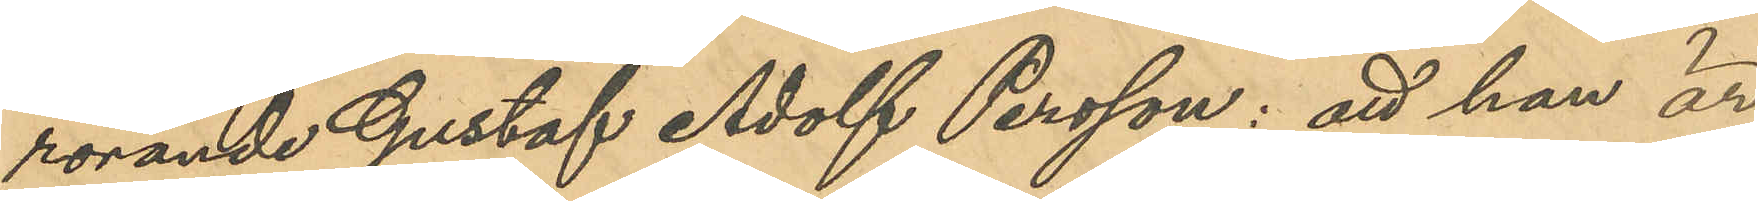rörande Gustaf Adolf Persson: att han är
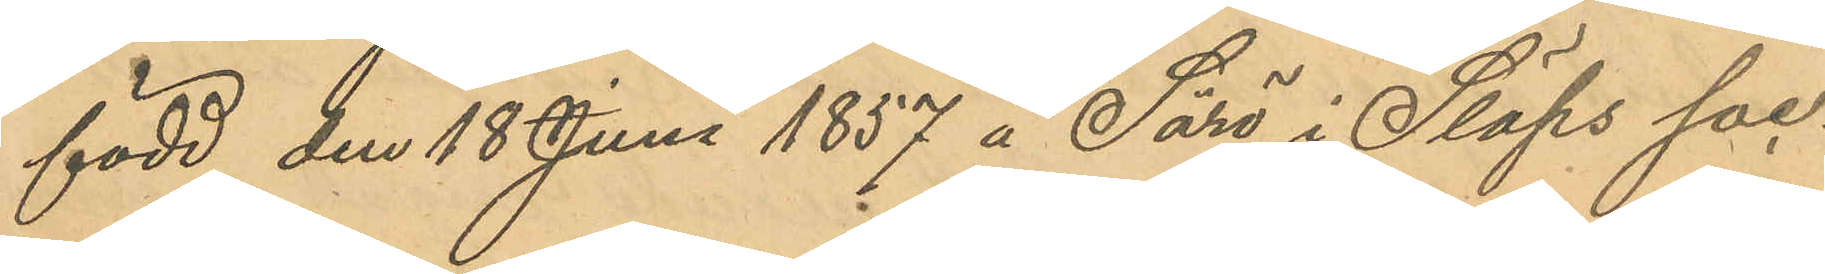född den 18 Juni 1857 å Särö i Släps soc¬
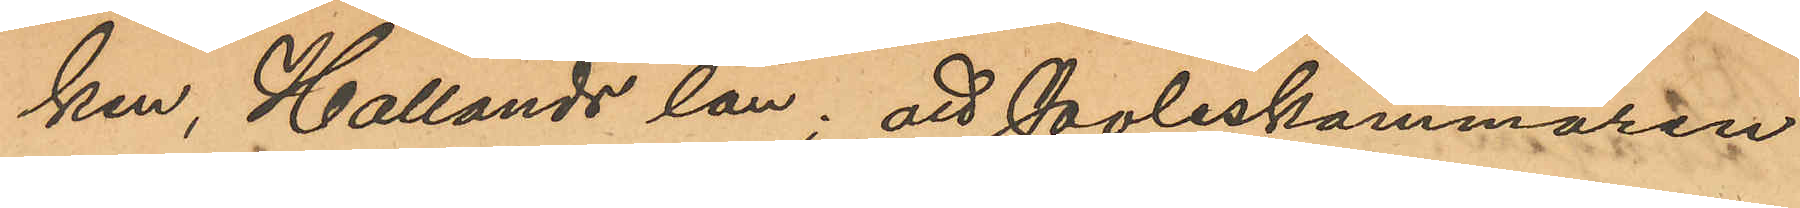ken, Hallands län; att Poliskammaren
